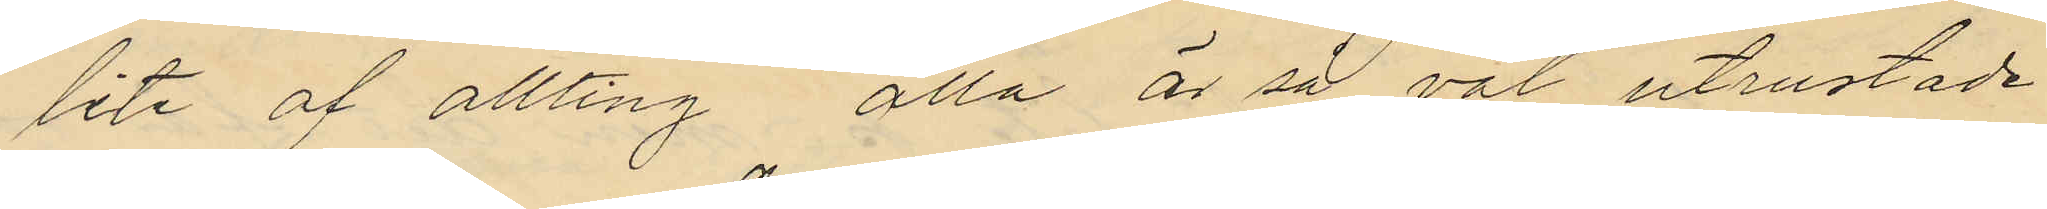lite af allting alla är så väl utrustade
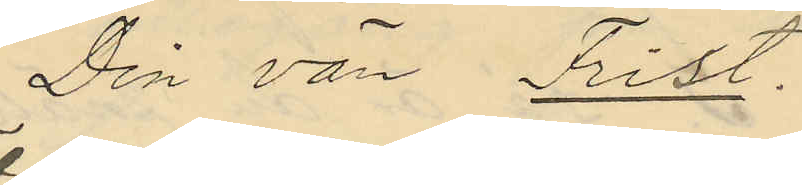Din vän Frist.
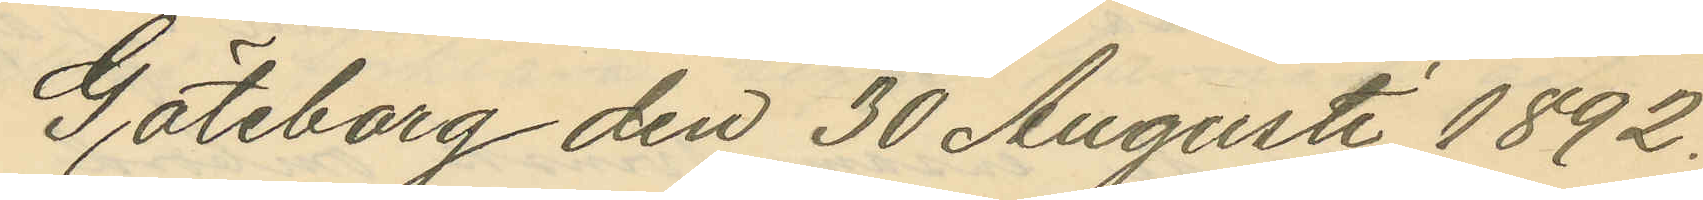Göteborg den 30 Augusti 1892.
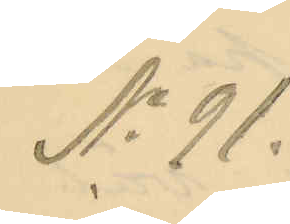No 91.
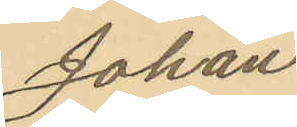Johan
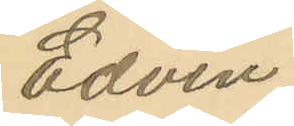Edvin
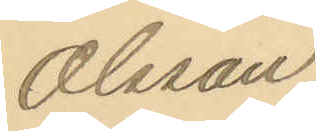Olsson.
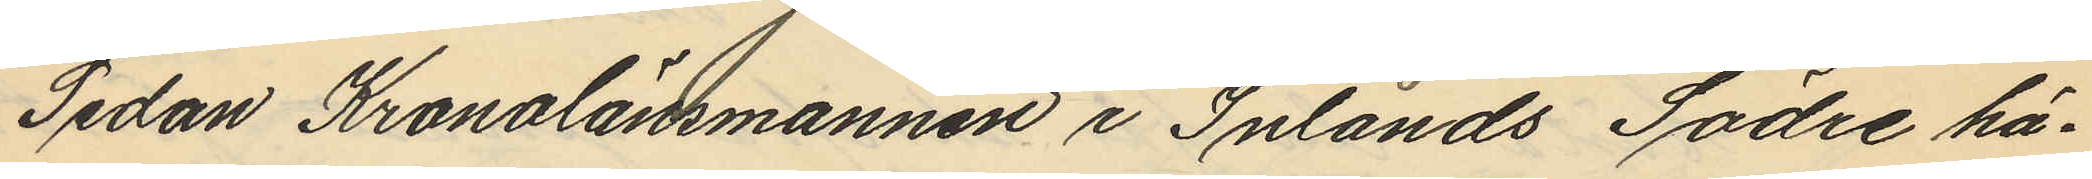Sedan Kronolänsmannen i Inlands Södre hä¬
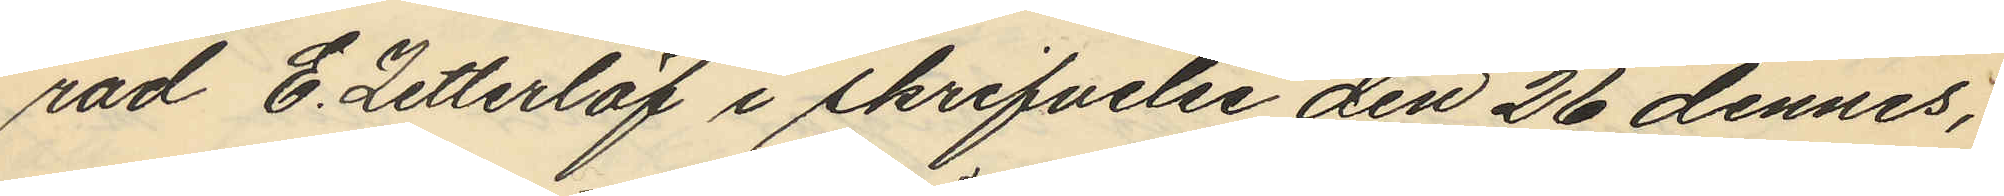rad E. Zetterlöf i skrifvelse den 26 dennes,
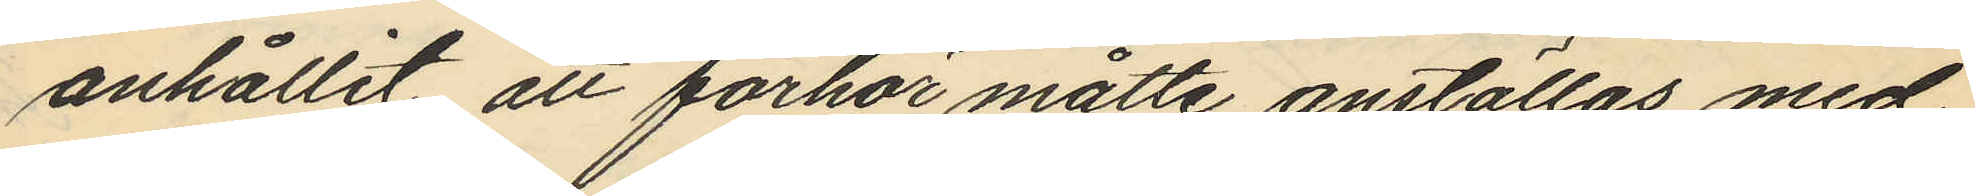anhållit att förhör måtte anställas med
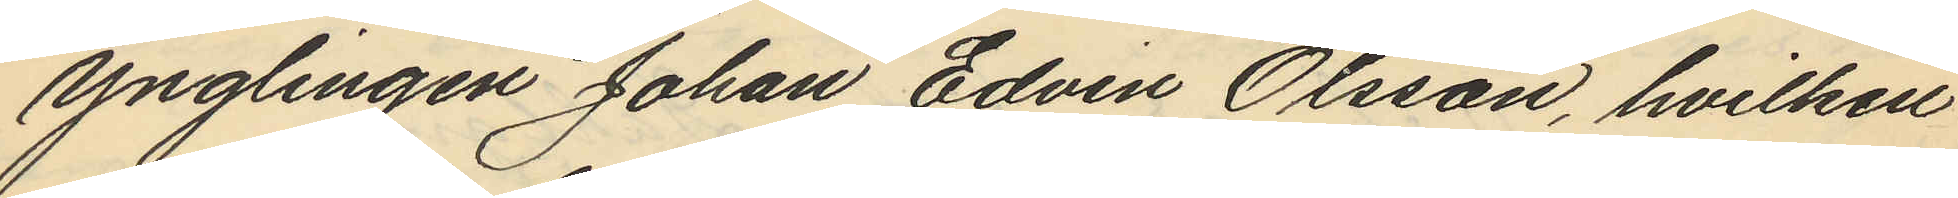ynglingen Johan Edvin Olsson, hvilken
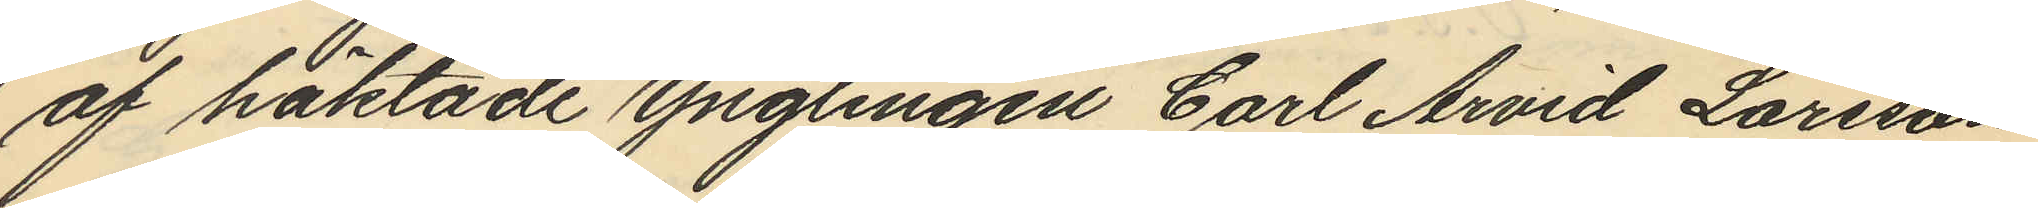af häktade Ynglingen Carl Arvid Larsson
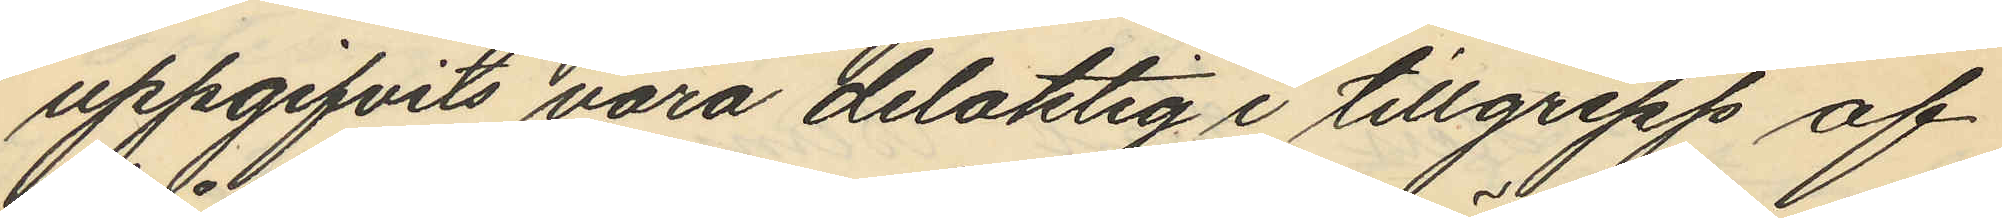uppgifvits vara delaktig i tillgrepp af
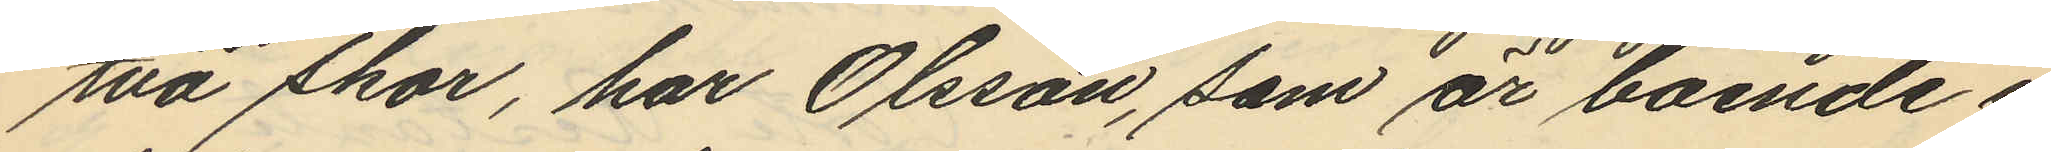två skor, har Olsson, som är boende i
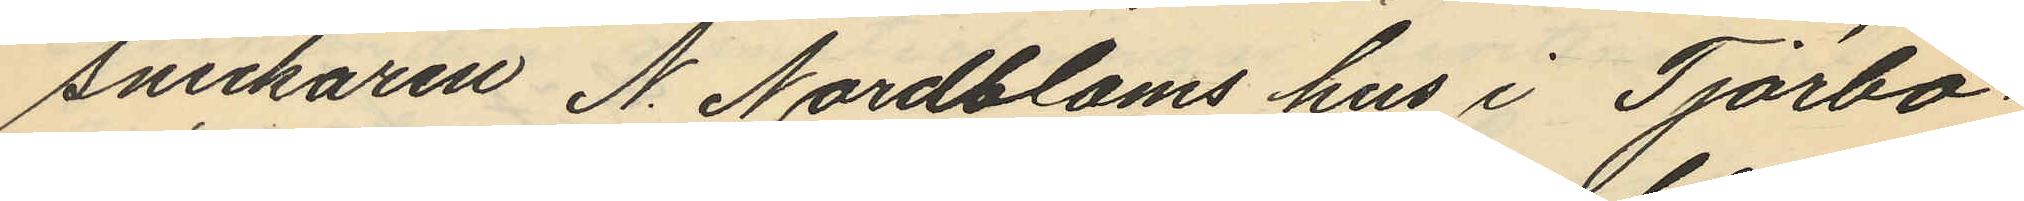Snickaren N. Nordbloms hus i Tjörbo¬
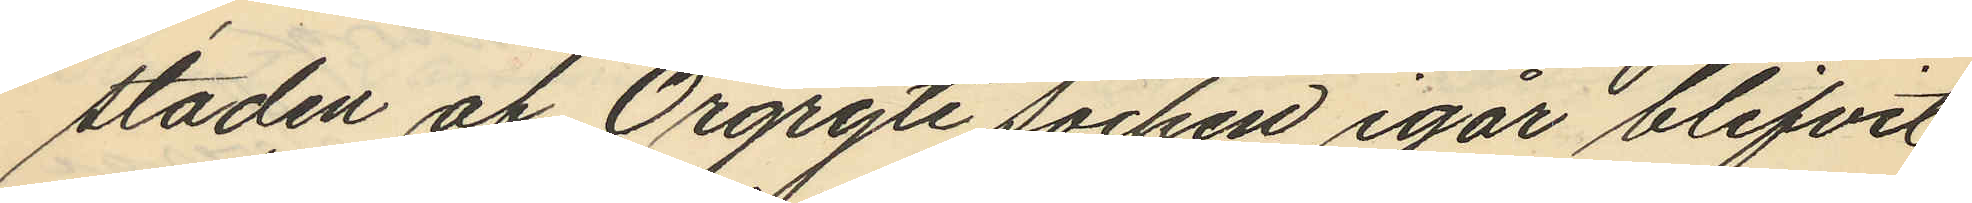staden af Örgryte socken igår blifvit
